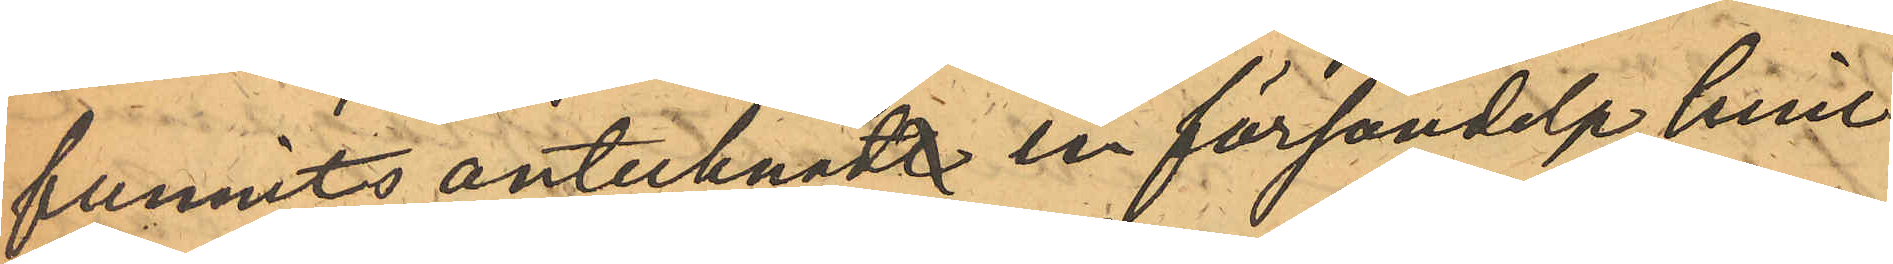funnits antecknadt en försändelse hvil¬
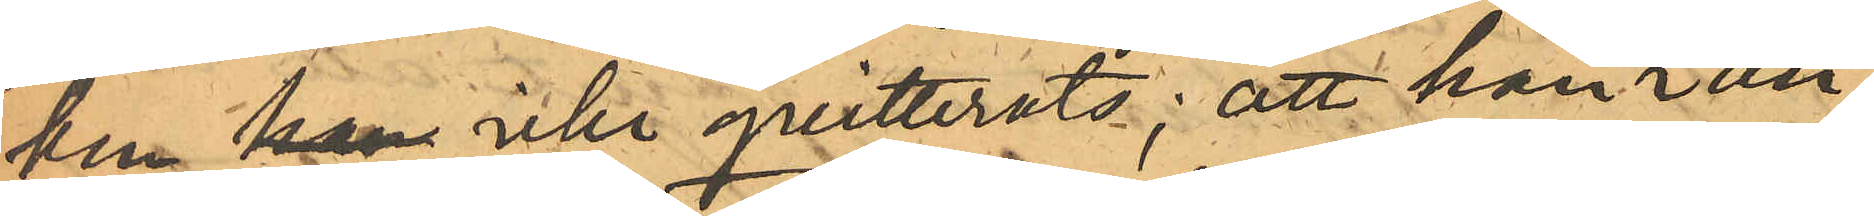ken han icke qvitterats; att han i an¬
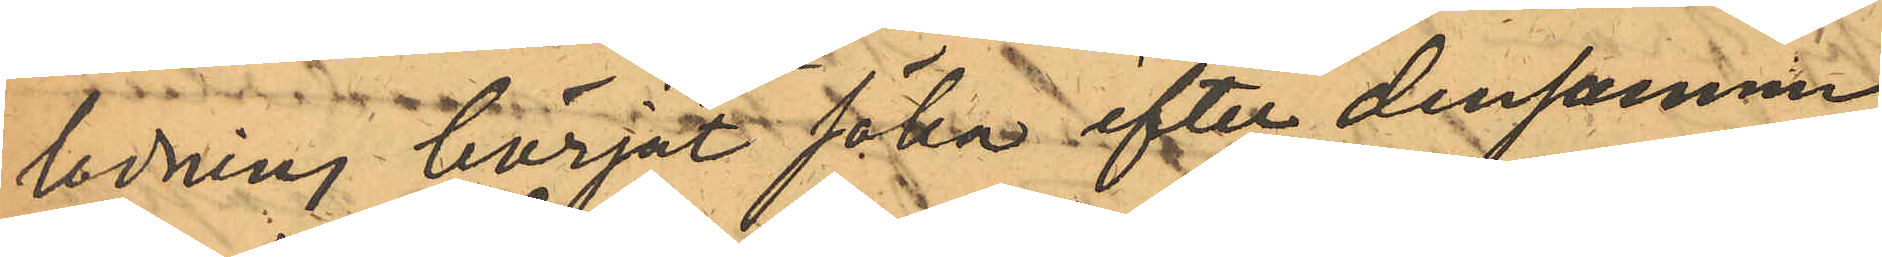ledning börjat söka efter densamma
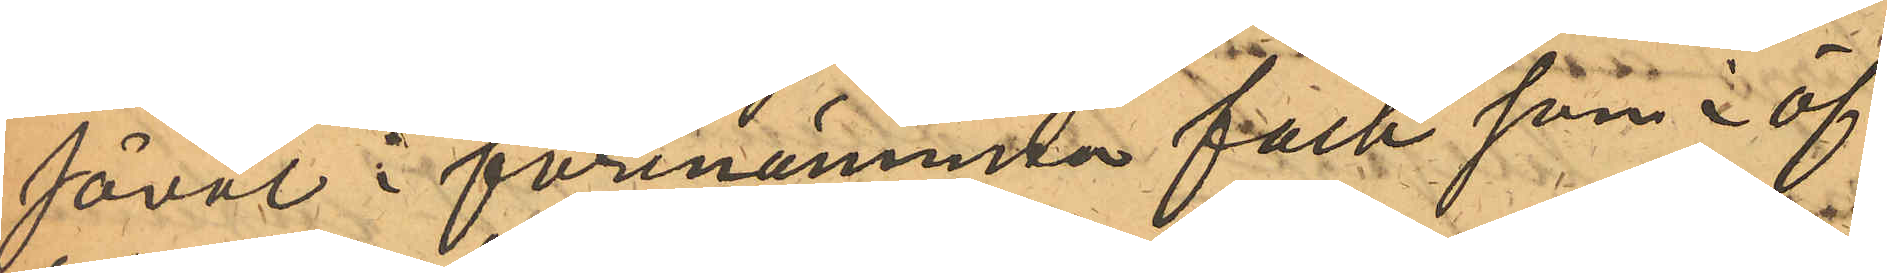såväl i förenämnda fack som i öf¬
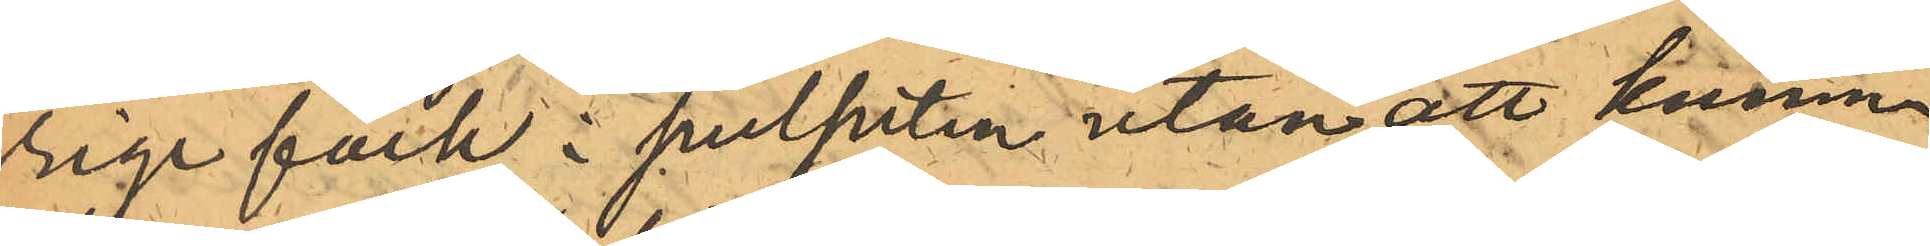rige fack i pulpeten utan att kunna
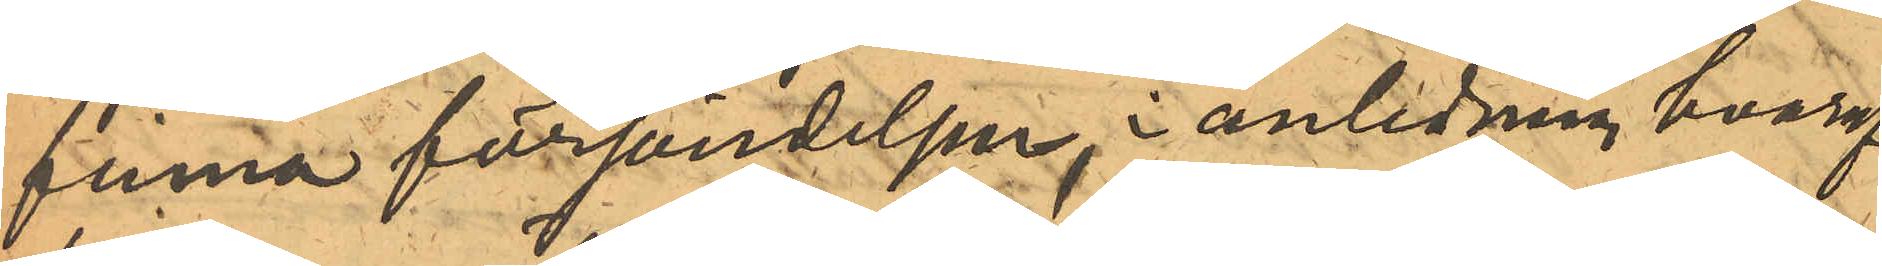finna försändelsen, i anledning hvaraf
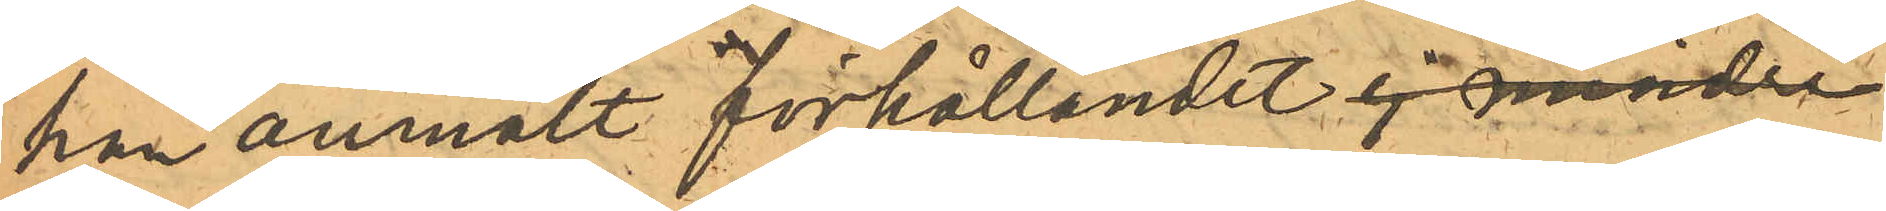han anmält förhållandet ej mindre
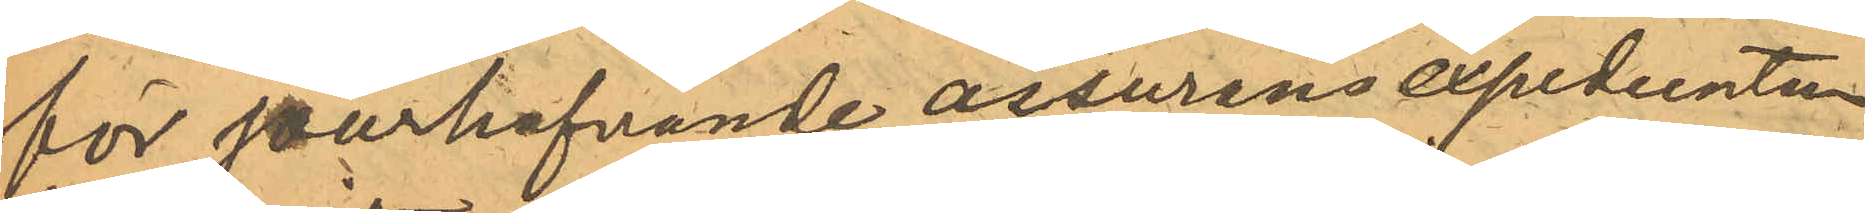för jourhafvande assurans expedienten
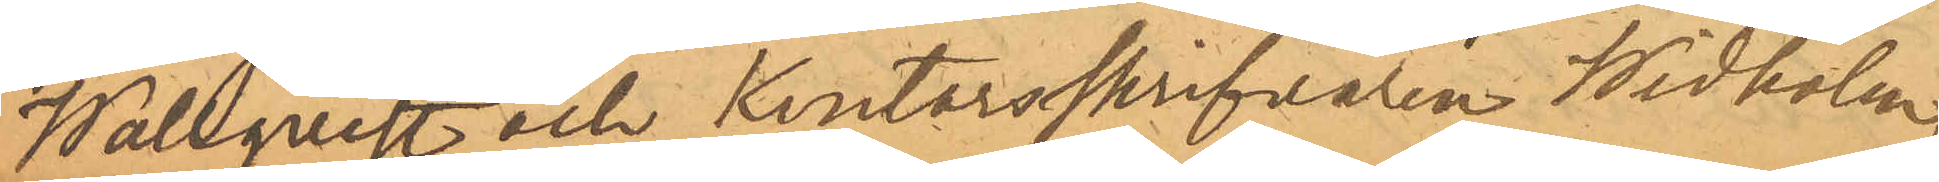Wallquist och kontorsskrifvaren Widholm
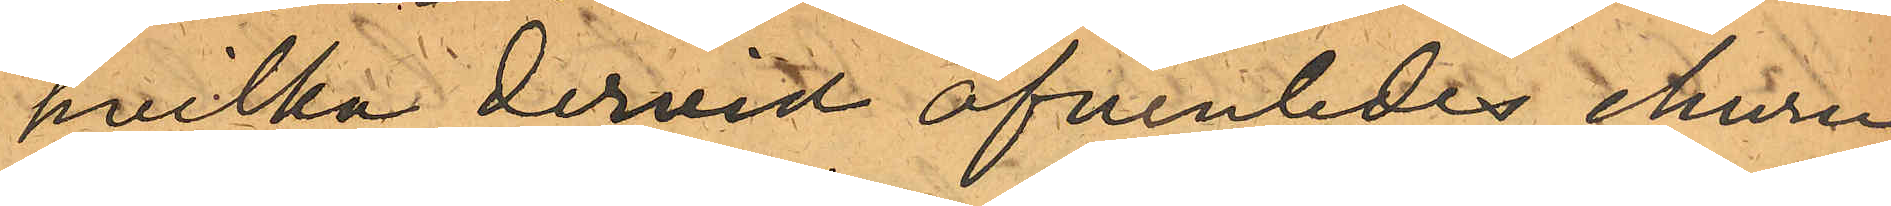hvilka dervid äfvenledes, ehuru
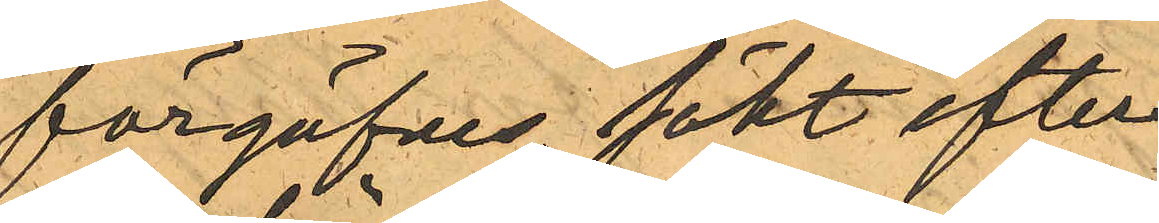förgäfves, sökt efter
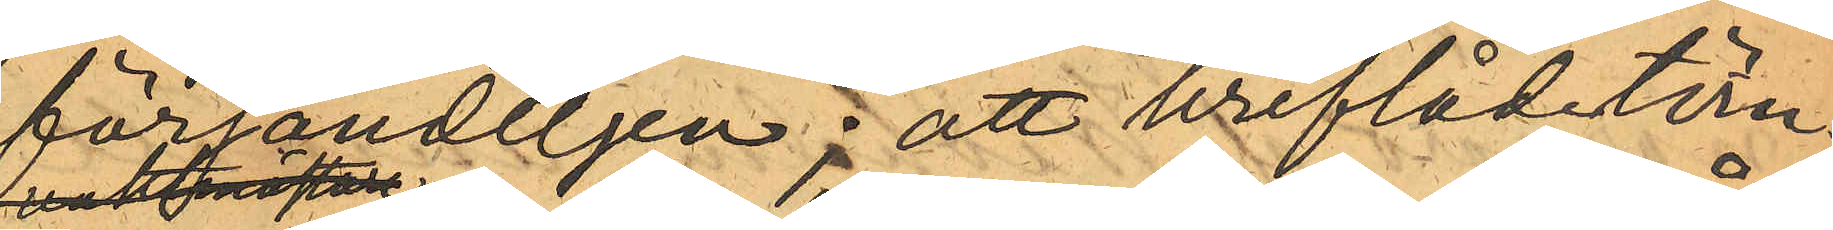försändelsen; att breflådetöm¬
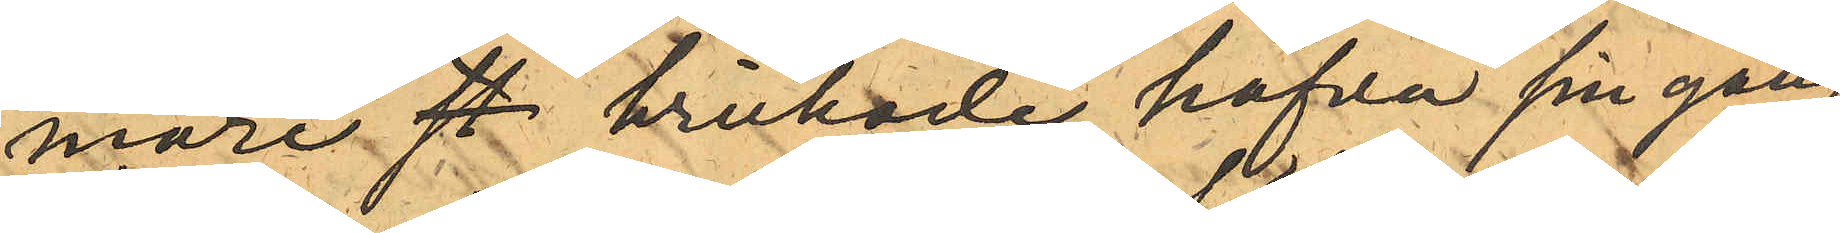mare st brukade hafva sin gång
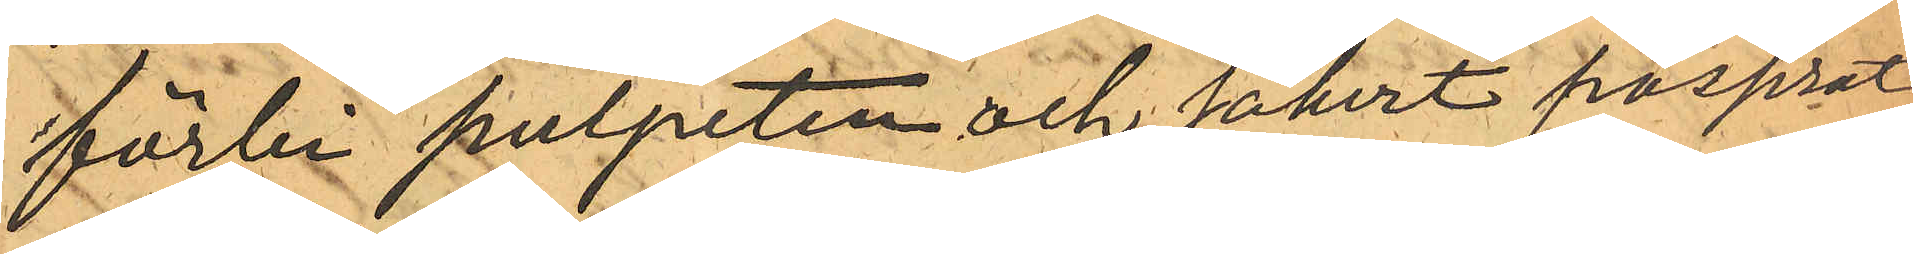förbi pulpeten och säkert passerat
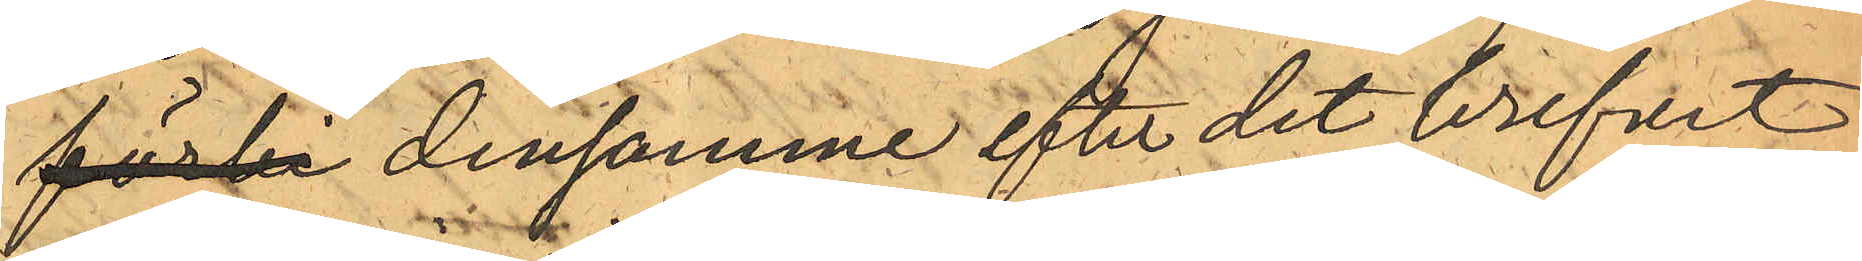förbi densamme efter det brefvet
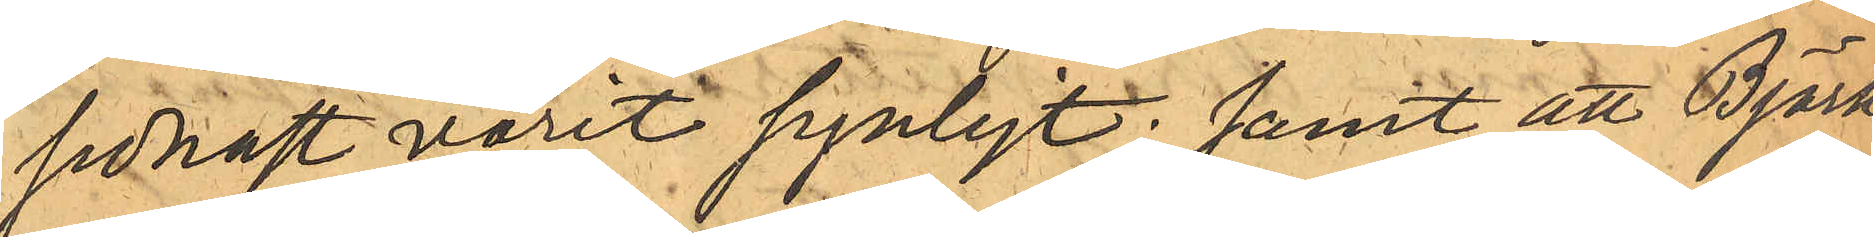sednast varit synligt; samt att Björk¬
